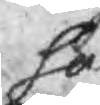så
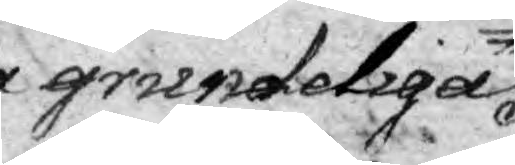grundeliga
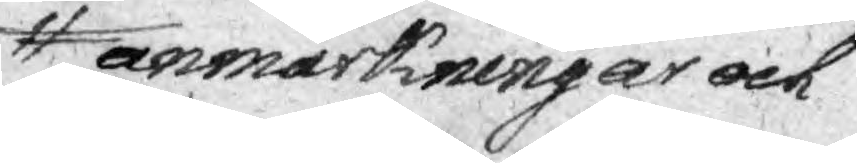anmärkningar och
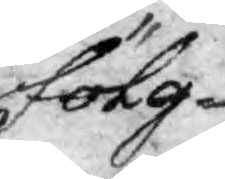fölg¬
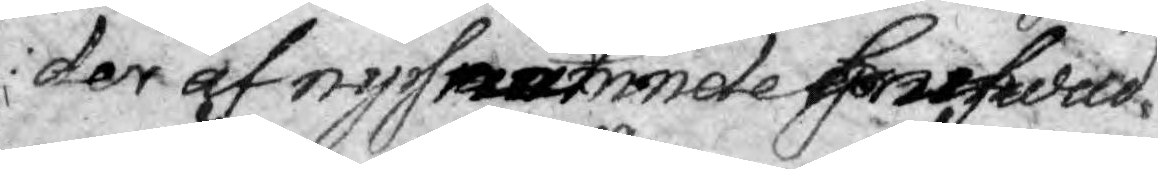der af nysnämde hufwud
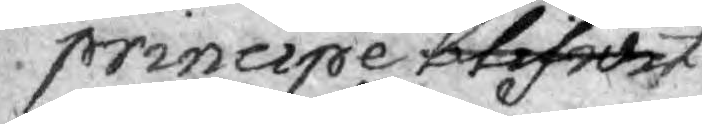principe blifwit wara
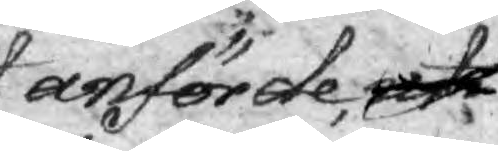anförde, att
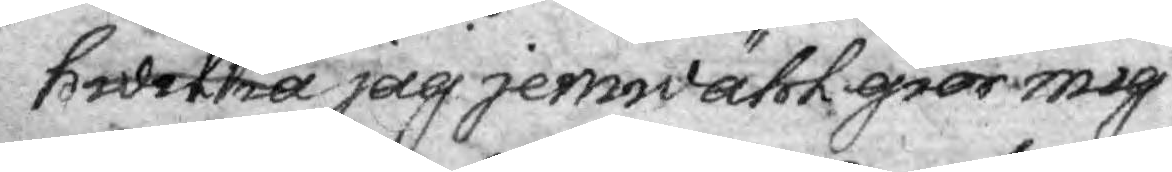hwilka att jag jemwälh giör mig
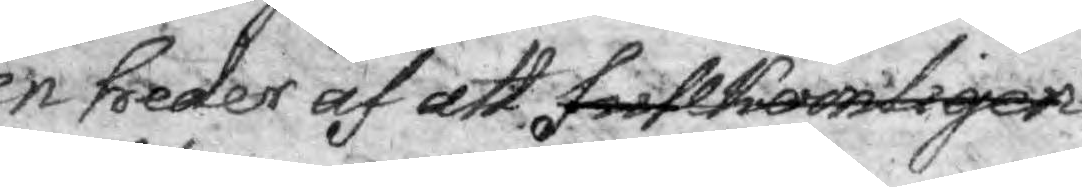en heder af att fullkomligen
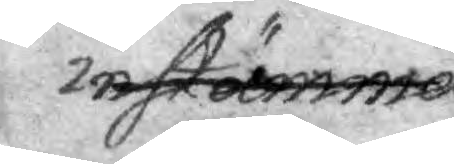instämma.
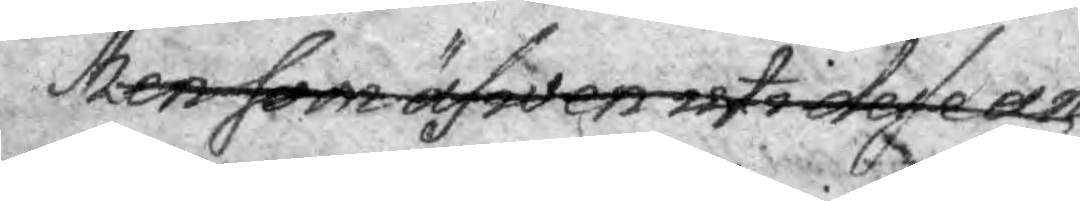Men som äfwe uti desse an¬
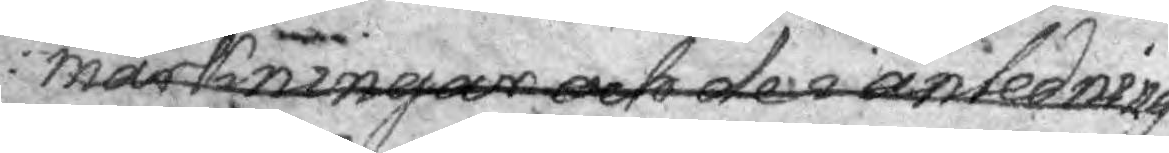märkningar och den anledning
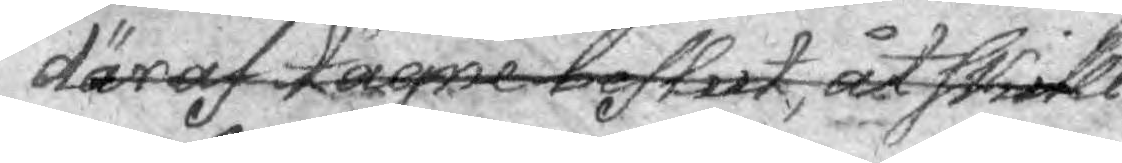däraf tagne beflut, åt skilli¬
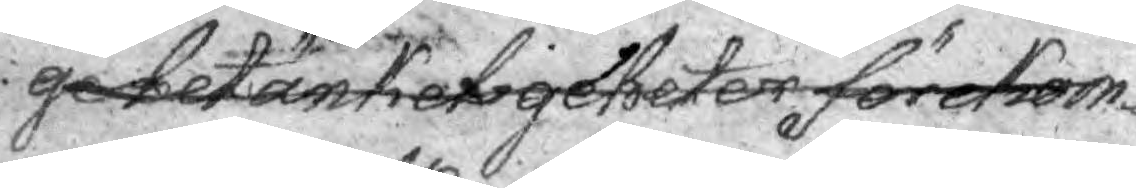ge betänkeligheter förekom¬
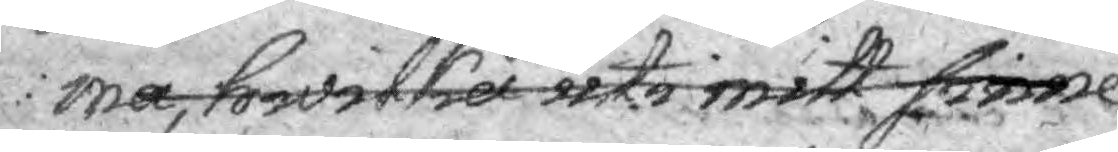ma, hwilka icke mitt sinne
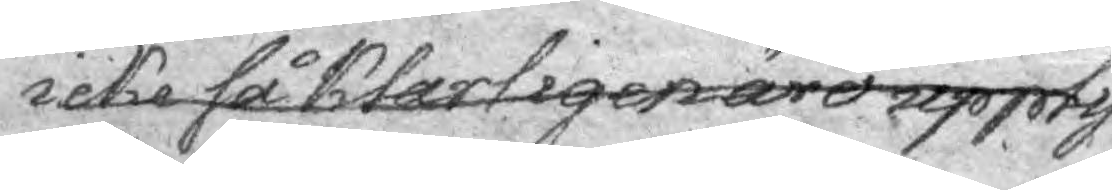icke så klarligen äro uppty¬
